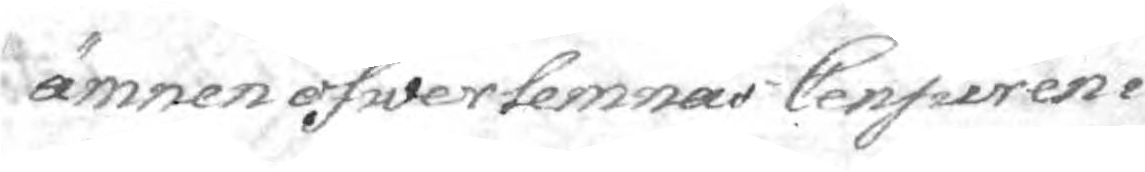ämnen öfwerlemnas Censuren i
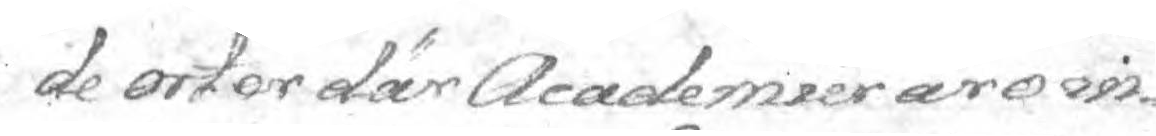de orter Academier äro in¬
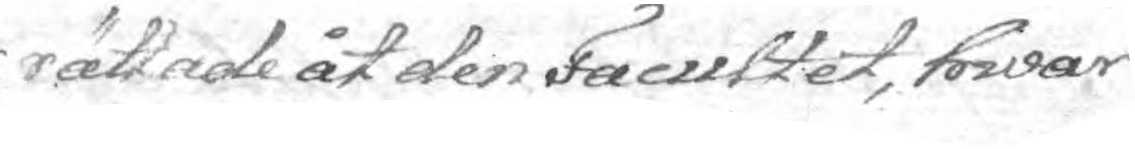rättade åt den Facultet, hwar
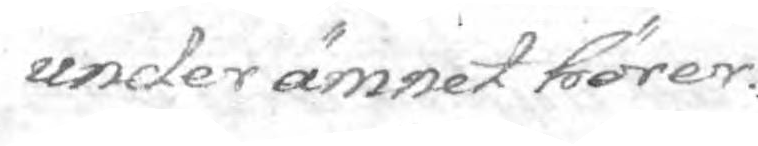uender ämnet hörer.
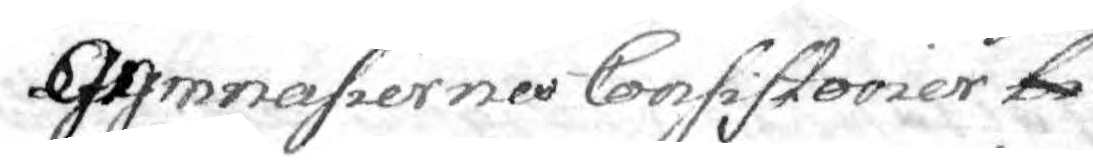Gymnasiernes Consistorier bi¬ förun¬
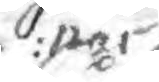nar
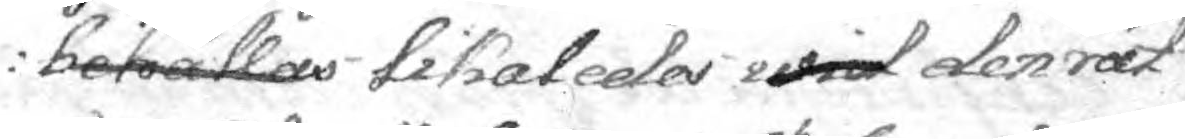behållas likaledes wid den rät¬
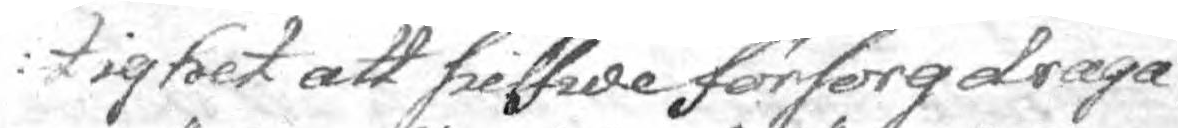tighet att sielfwe försorg draga
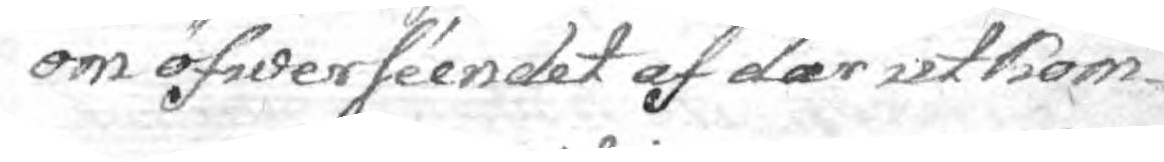om öfwerséendet af där utkom¬
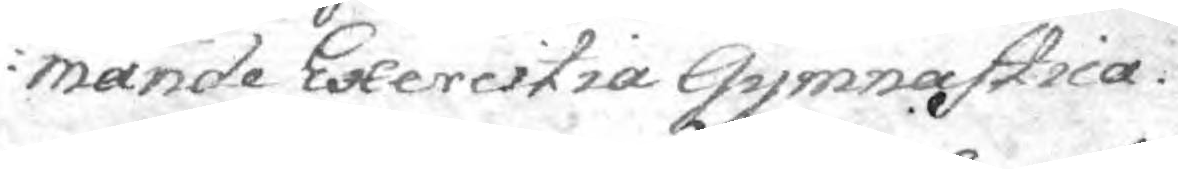mande Exercitia Gymnastica.
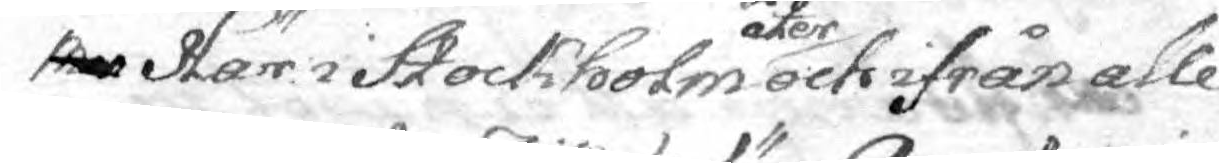men Här i Stockholm åter ock ifrån alle
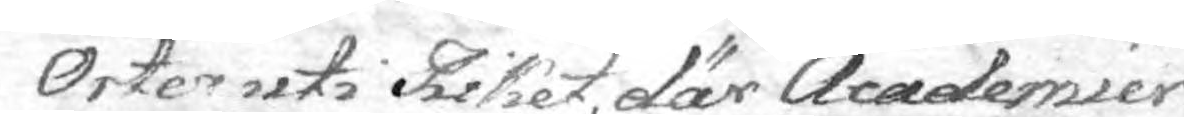Orter uti Riket, där Academier
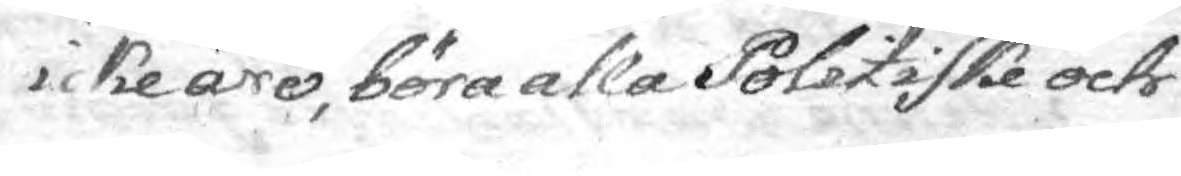icke äro, böra alla Politiske och
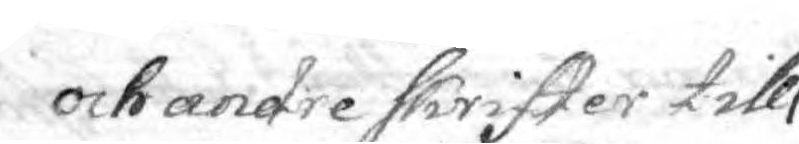och andre skrifter till
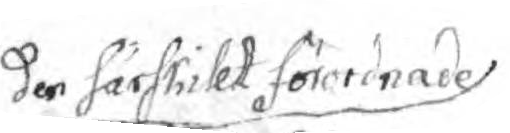de särskillt förordnade de särskillt förordnade
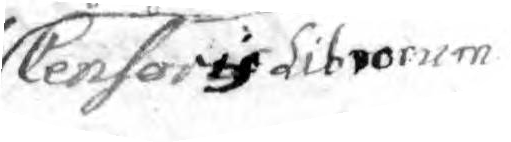Censoris Librorum
